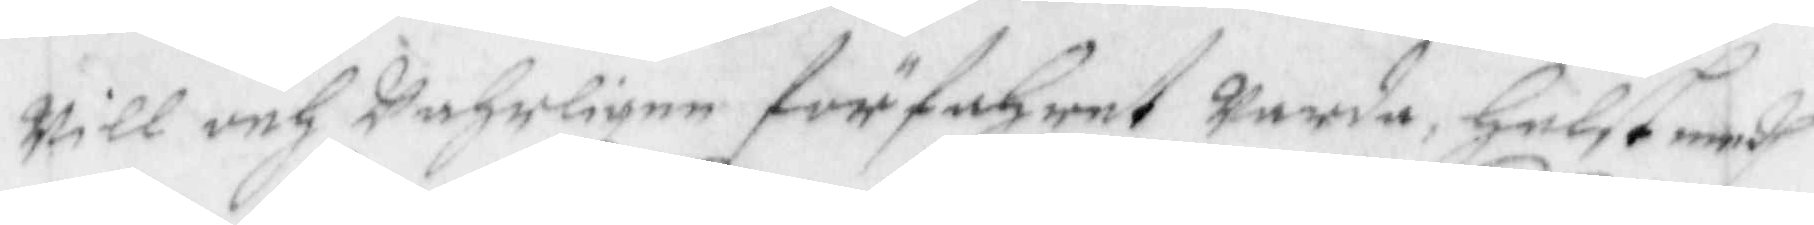will och wahrligen förfahrat warda, helst medh
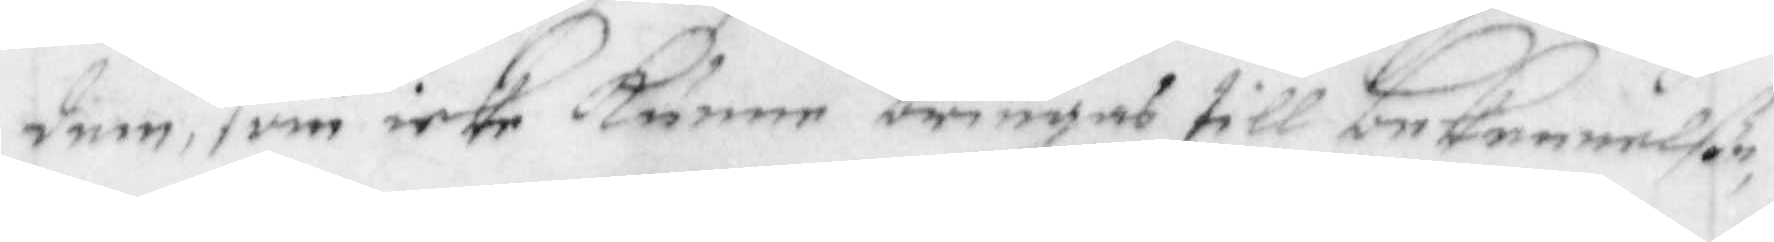dem, som icke kunne bringas till bekennelße,
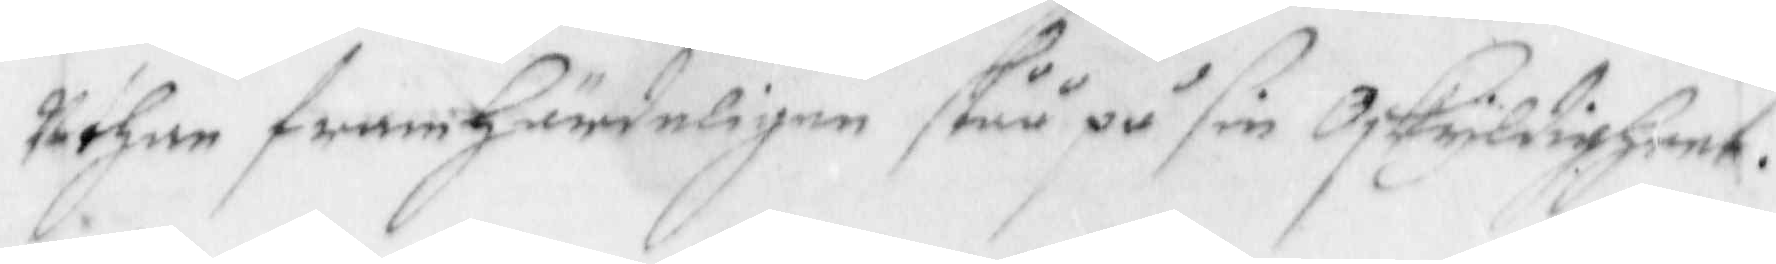uthan framhärdeligen ståå på sin oskyldigheet.
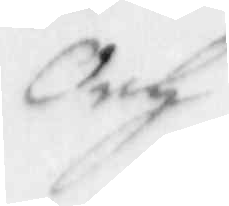Och
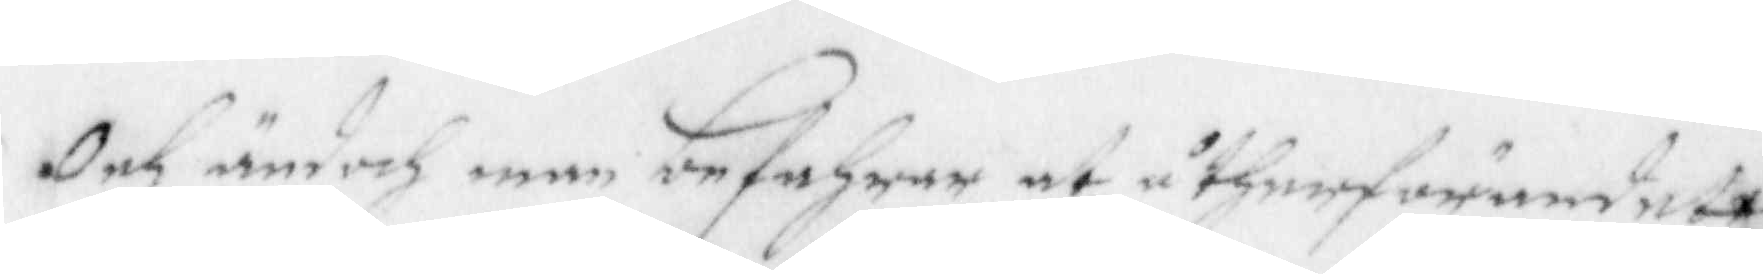Och ändoch man befahrar at åtherförandet
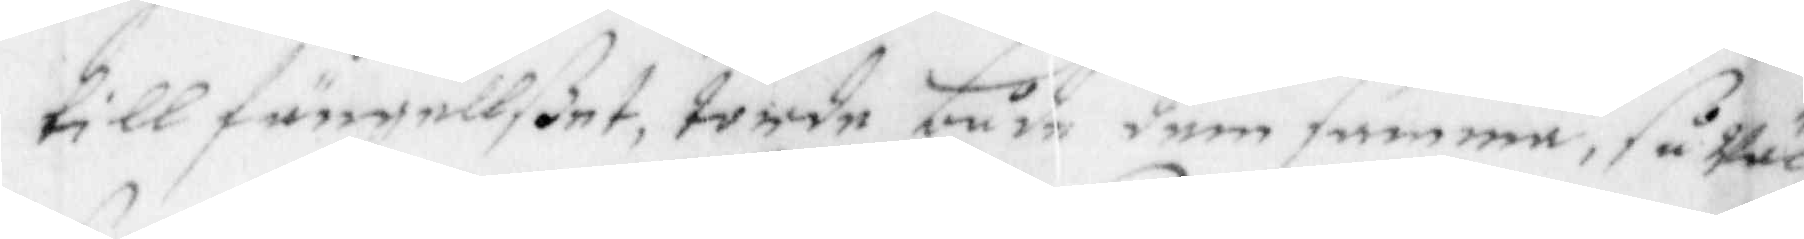till fångellßet, torde både dem samme, så wäl
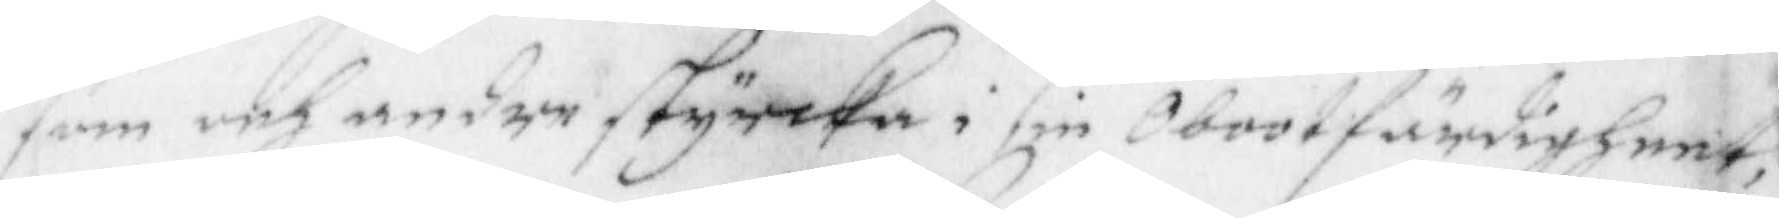som och andre styrcka i sin Obootfärdigheet,
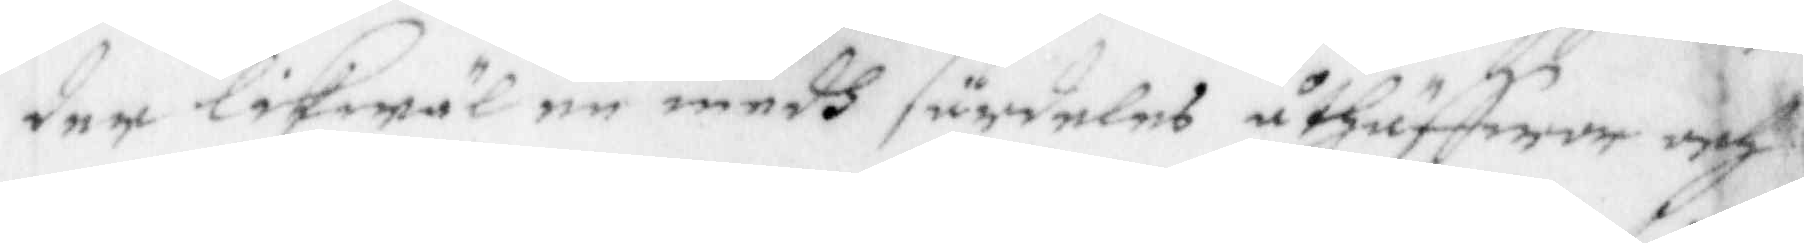der likwäl en medh särdeles åthuffwer och
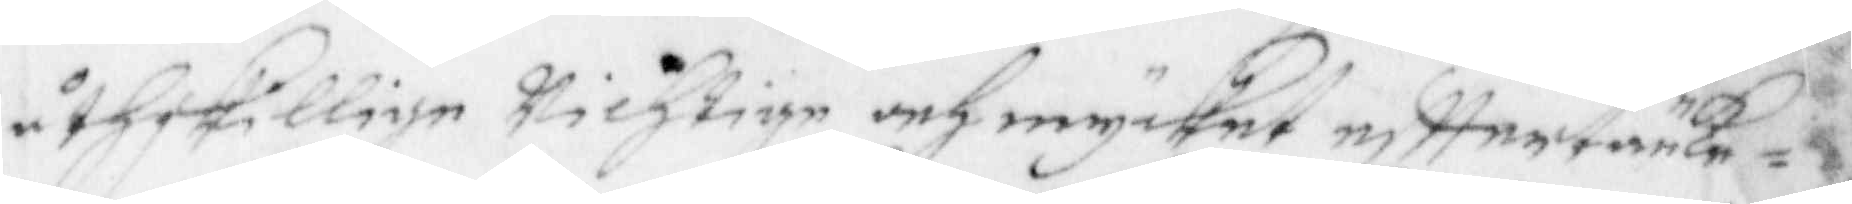åthskillige wichtige och mycket efttertänke¬
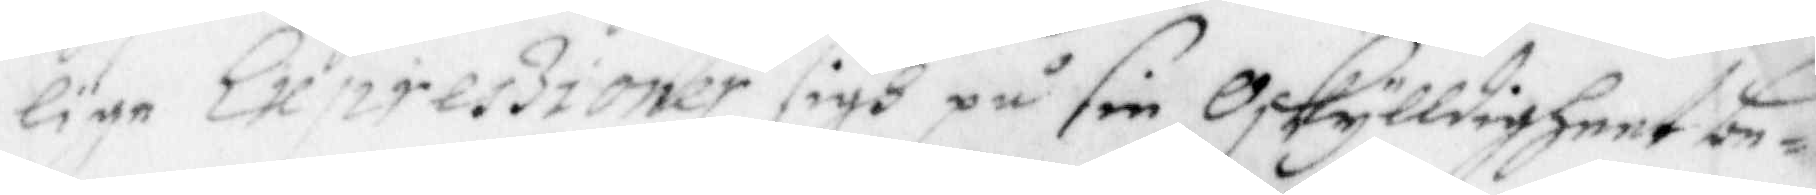lige Expreszioner sigh på sin Oskylldigheet be¬
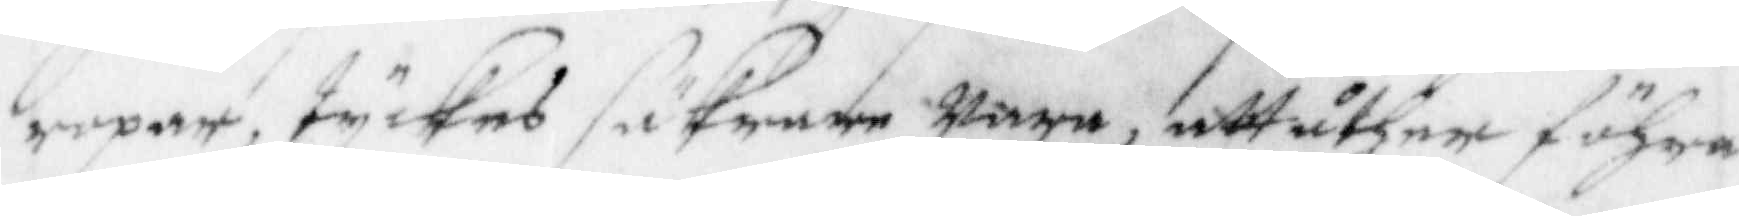ropar, tyckes säkrasre wara, att åther föhra
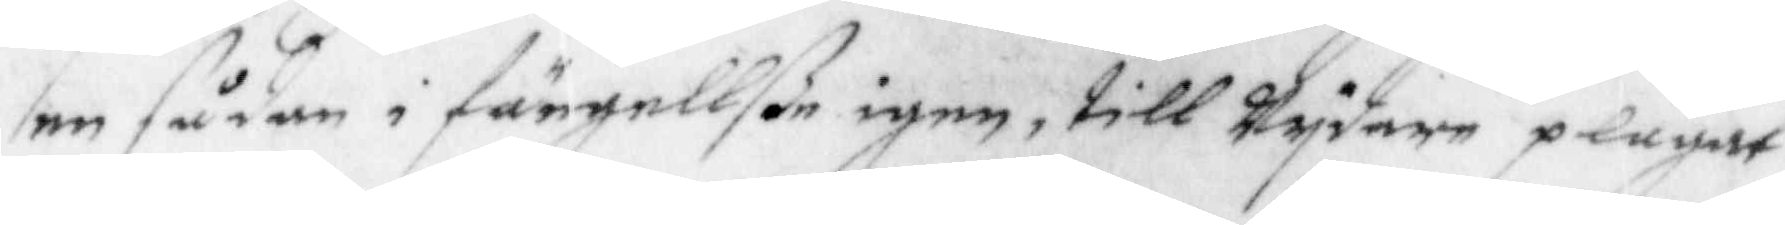en sådan i fängellße igen, till wydare plägat
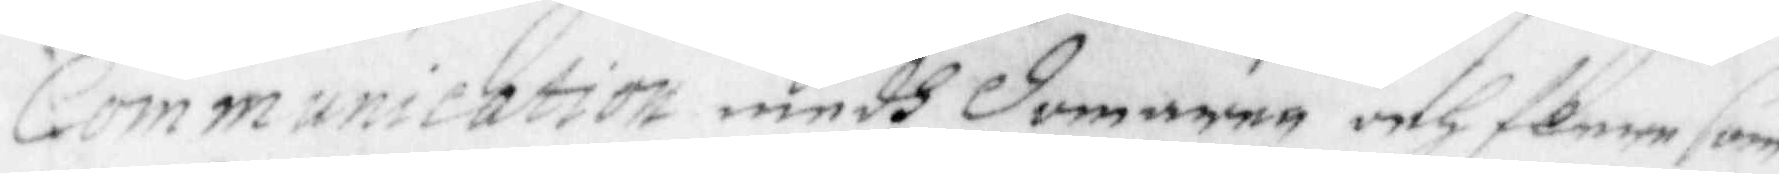Communication medh domaren och flere som
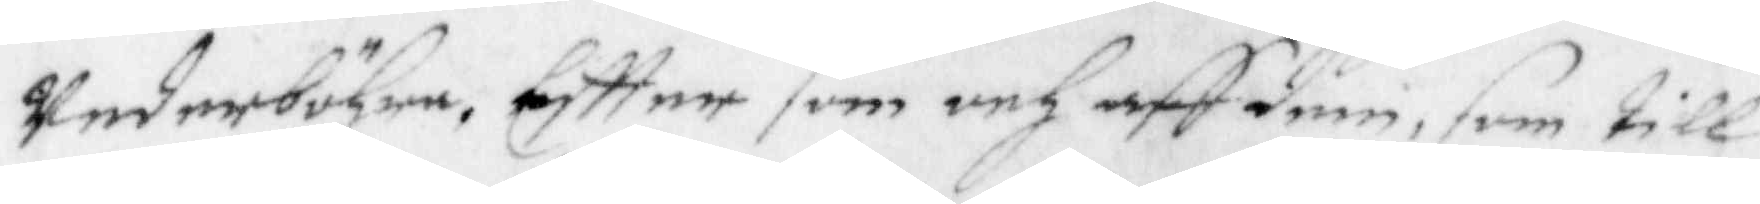wederböhre, Eftter som och aff dem, som till
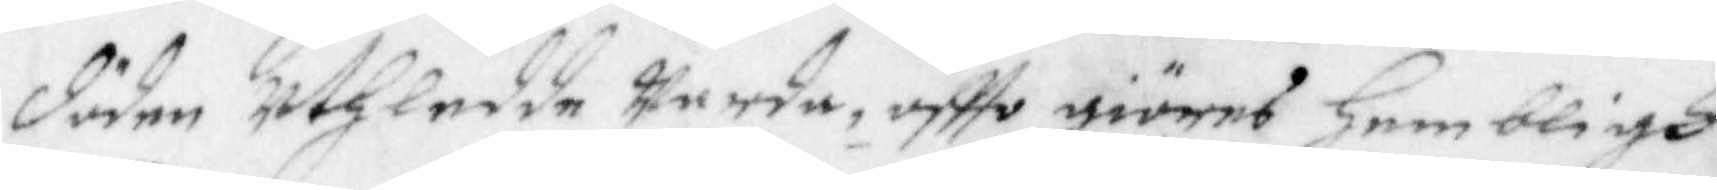döden uthledde warda, oftte giöres hembligh
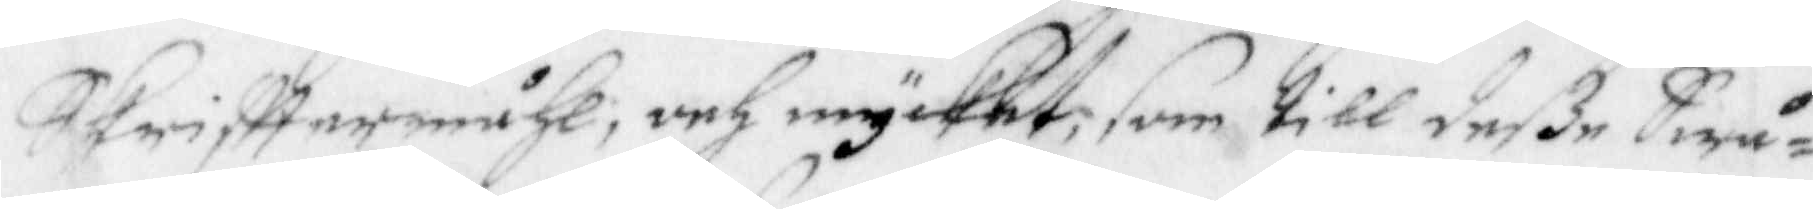Skrifttermåhl, och mycket, som till deße Swå¬
